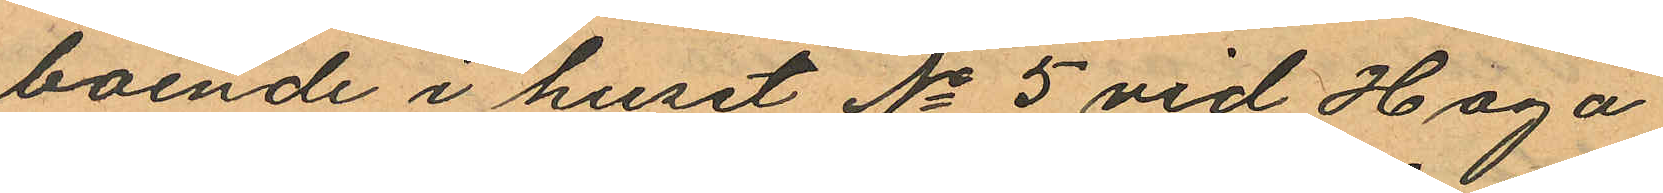boende i huset No 5 vid Haga
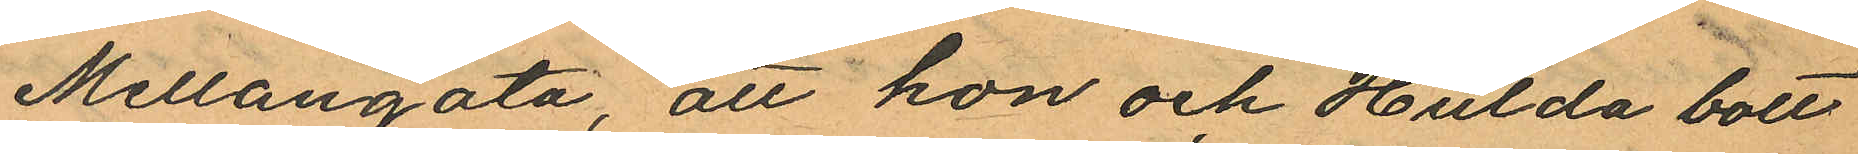Mellangata, att hon och Hulda bott
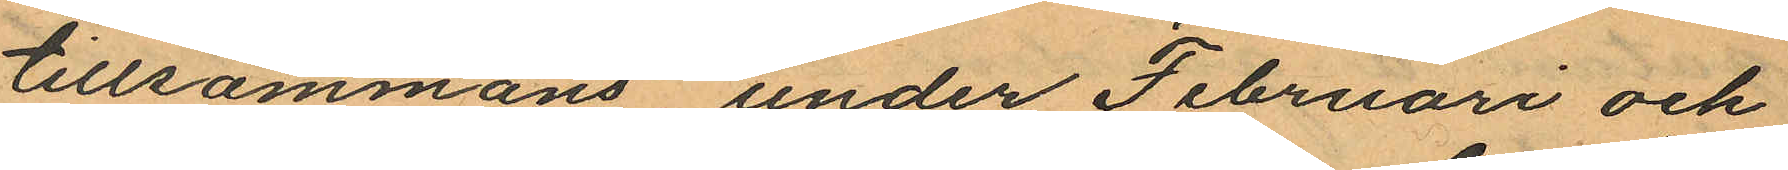tillsammans under Februari och
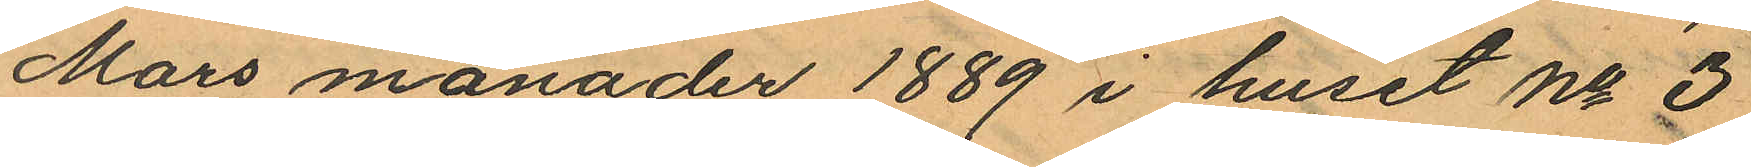Mars månader 1889 i huset No 3
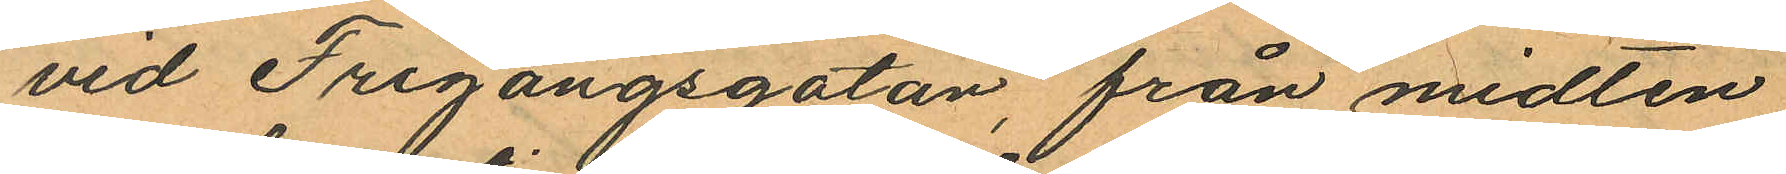vid Frigångsgatan, från midten
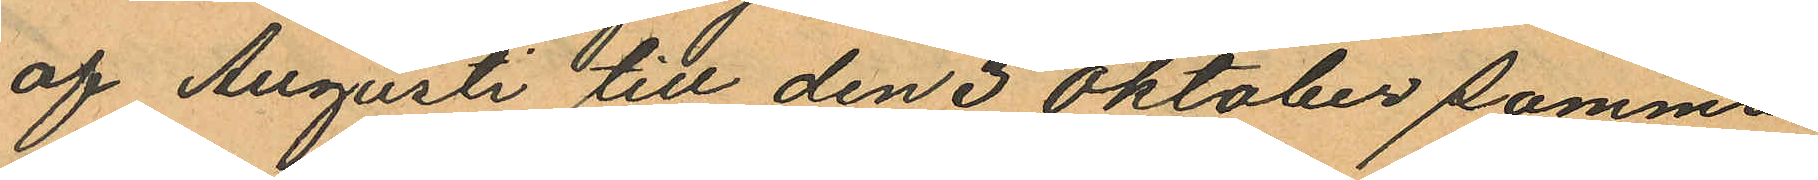af Augusti till den 3 Oktober samma
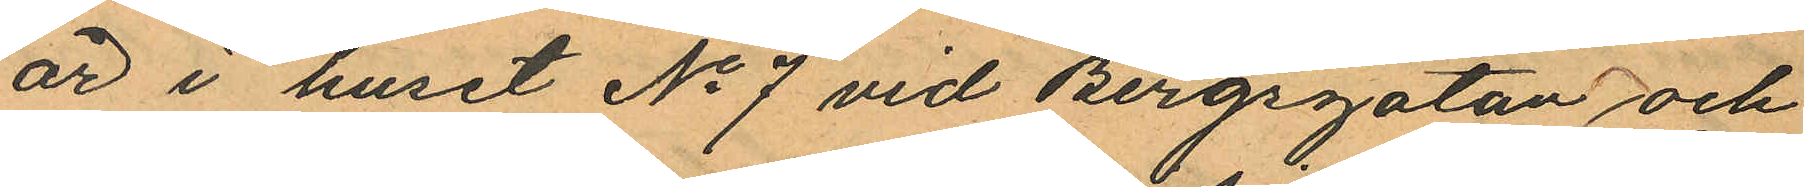år i huset No 7 vid Bergsgatan och
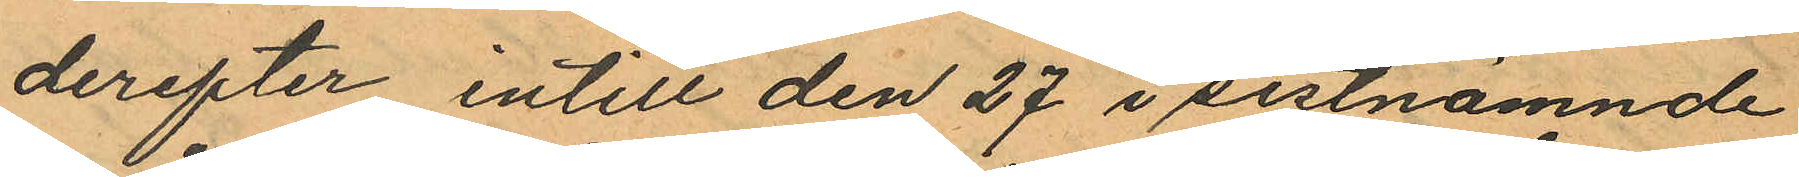derefter intill den 27 i sistnämnde
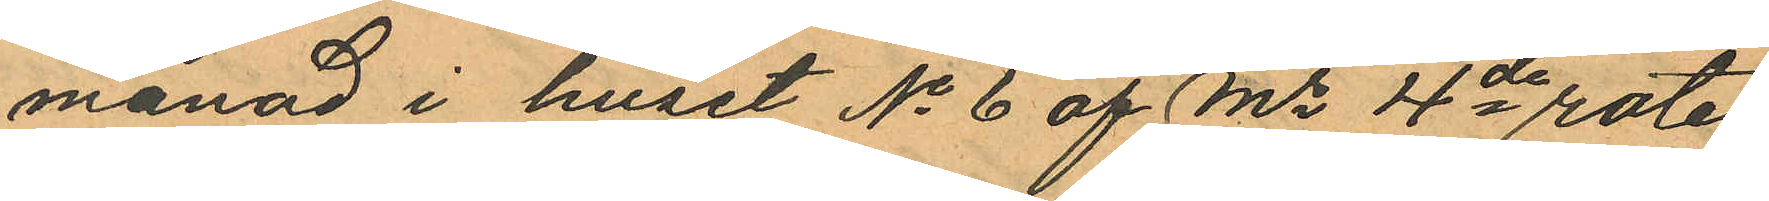månad i huset No 6 af Ms 4de rote
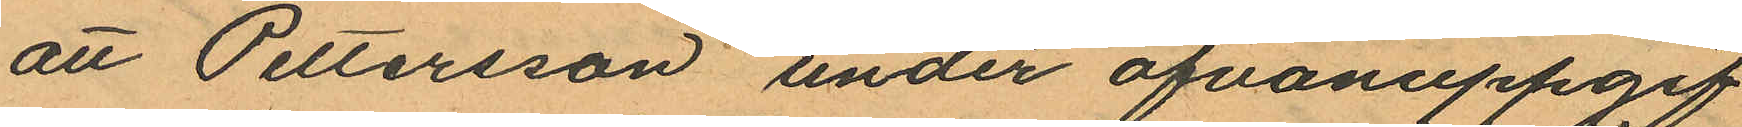att Pettersson under ofvanuppgif
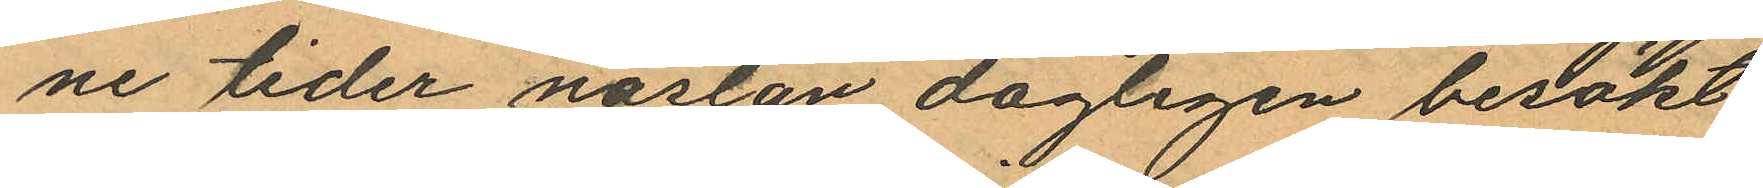ne tider nästan dagligen besökt
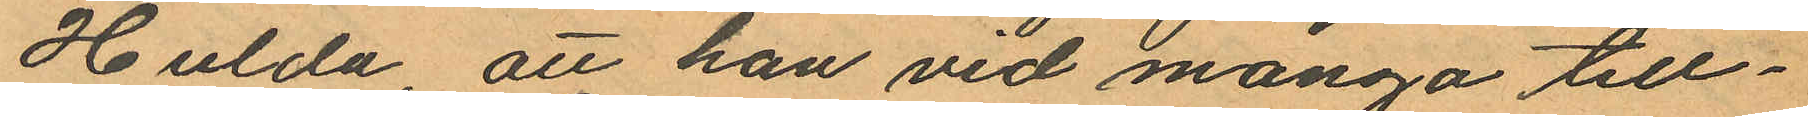Hulda, att han vid många till¬
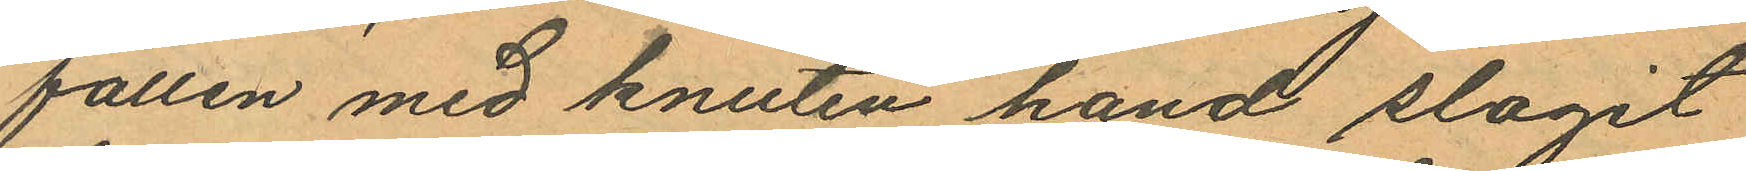fällen med knuten hand slagit
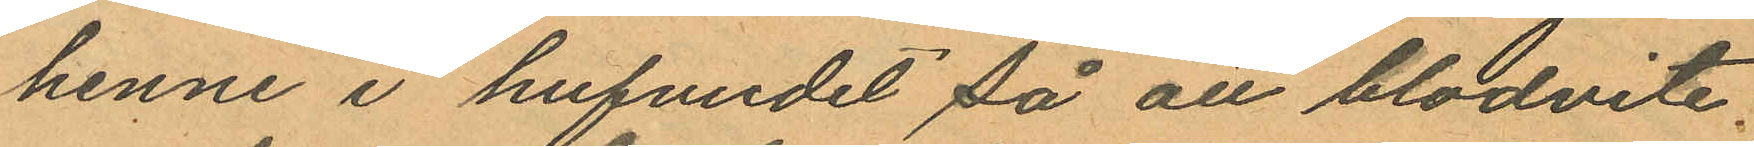henne i hufvudet så att blodvite
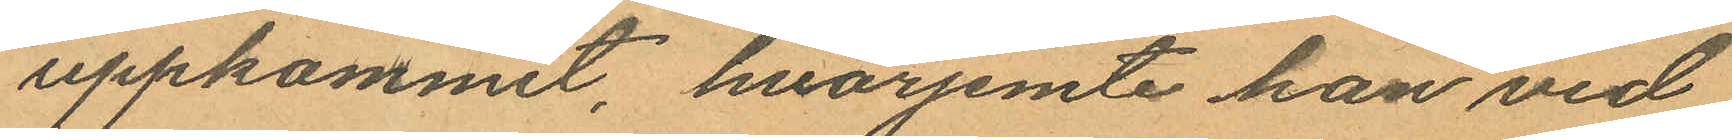uppkommit, hvarjemte han vid
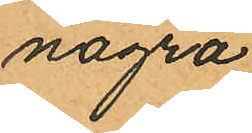några
